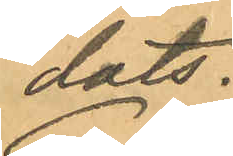dats.
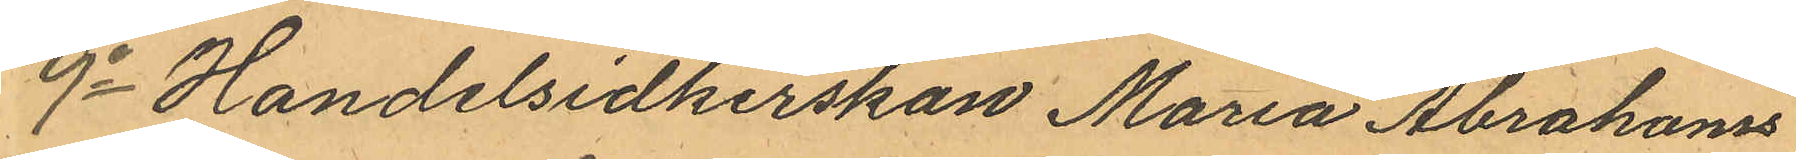9o Handelsidkerskan Maria Abrahams
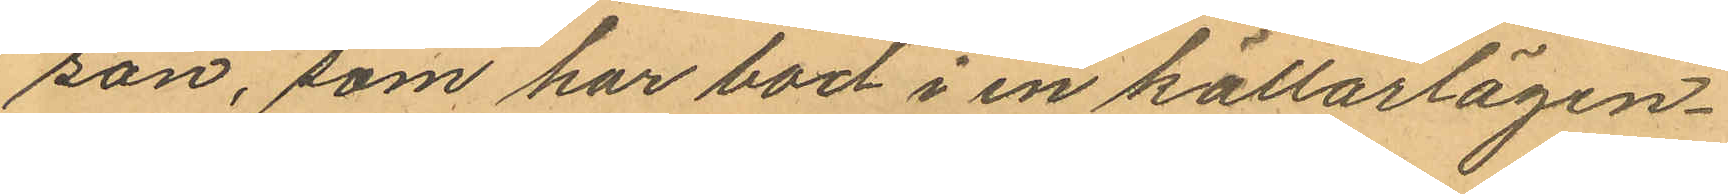son, som har bod i en källarlägen¬
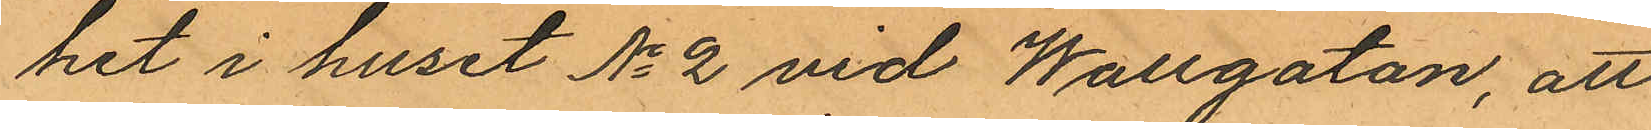het i huset No 2 vid Wallgatan, att
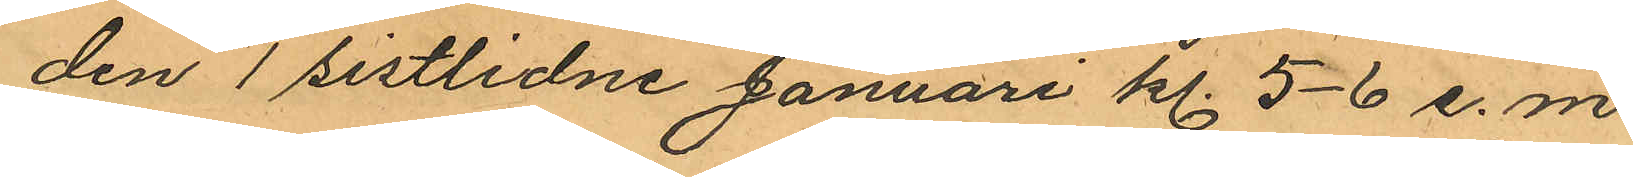den 1 sistlidne Januari kl. 5-6 e.m.
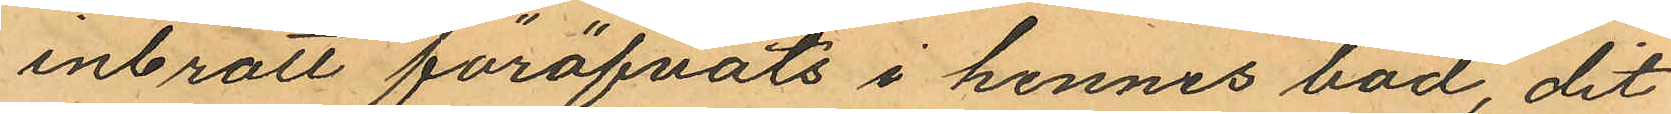inbrott föröfvats i hennes bod, dit
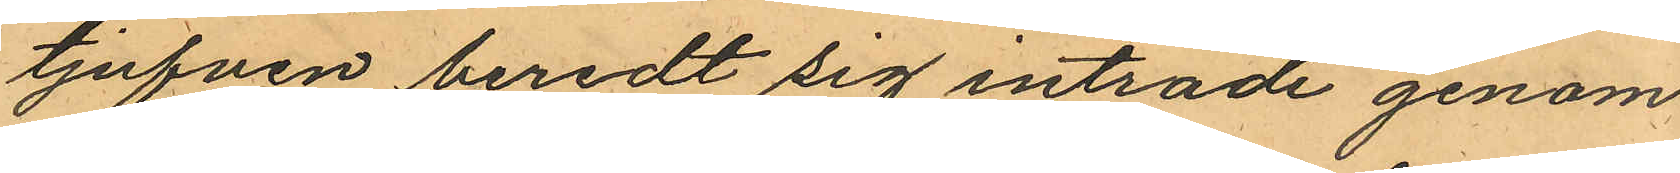tjufven beredt sig inträde genom
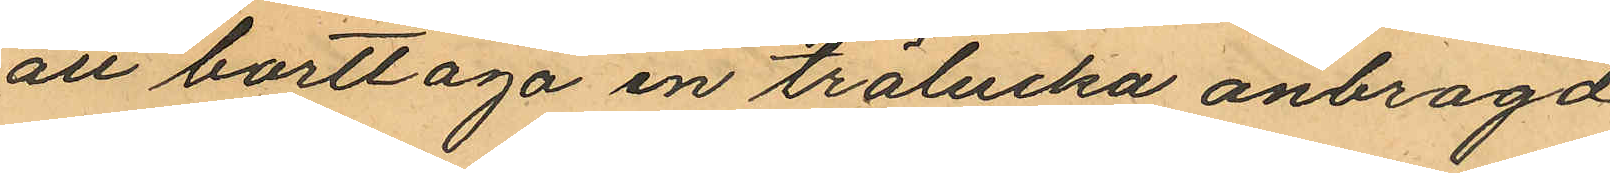att borttaga en trälucka anbragd
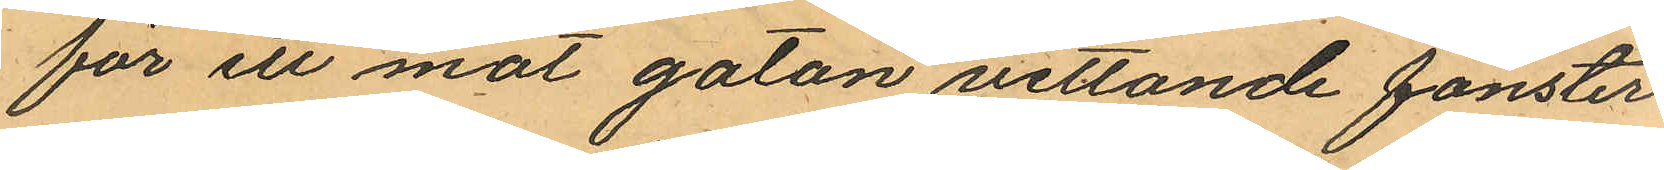för ett mot gatan vettande fönster
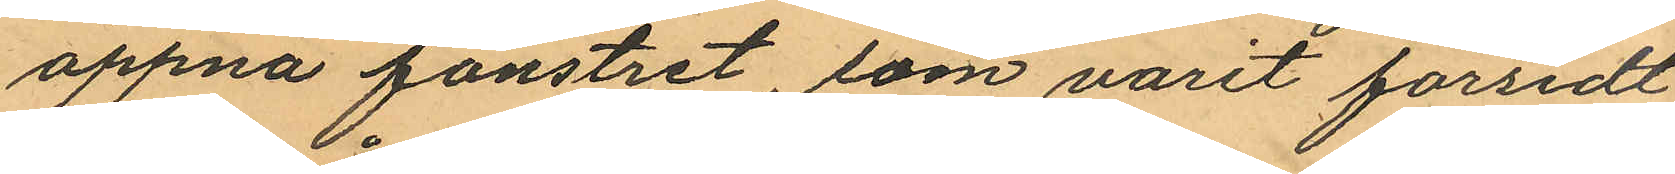öppna fönstret, som varit försedt
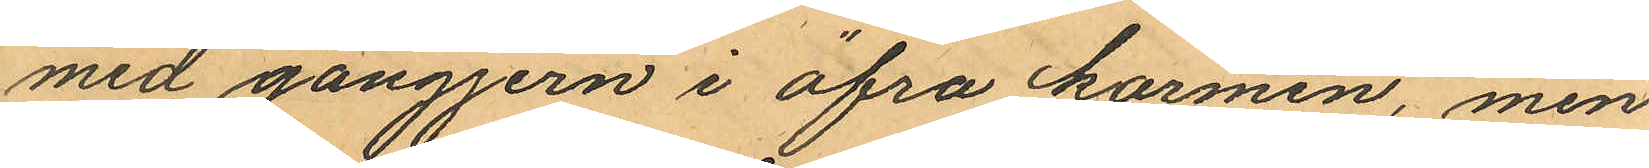med gångjern i öfra karmen, men
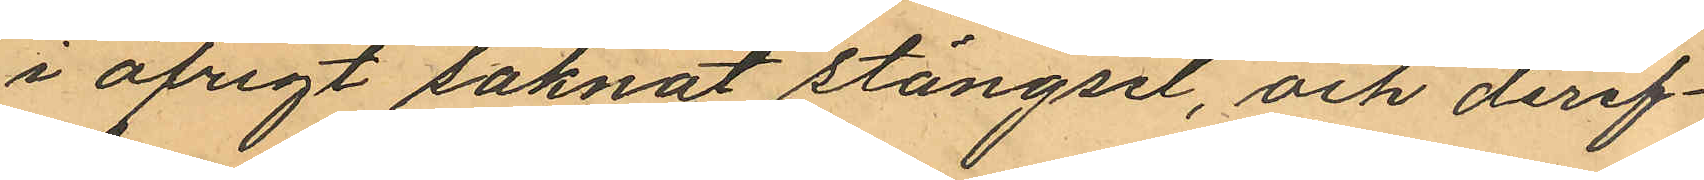i öfrigt saknat stängsel, och deref¬
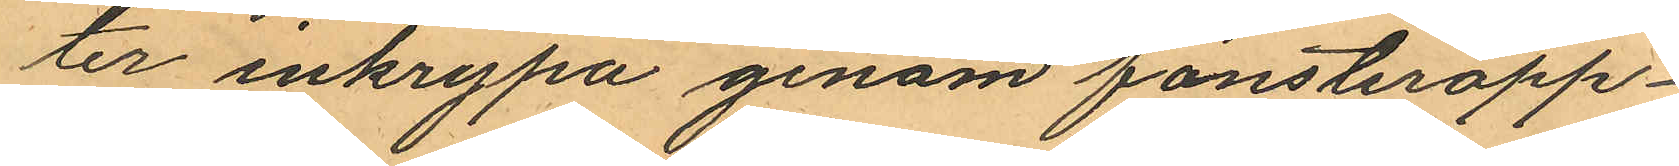ter inkrypa genom fönsteröpp¬
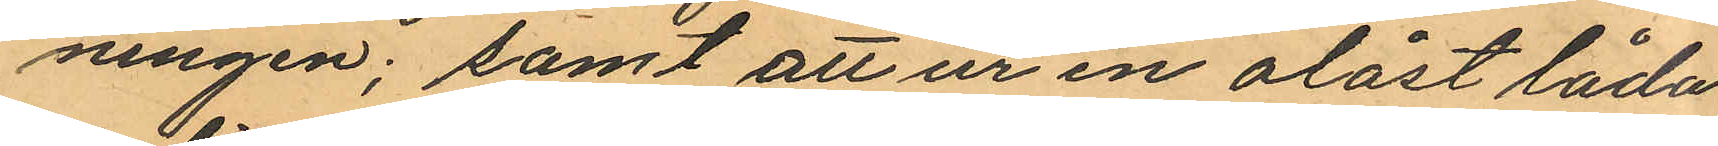ningen; samt att ur en olåst låda
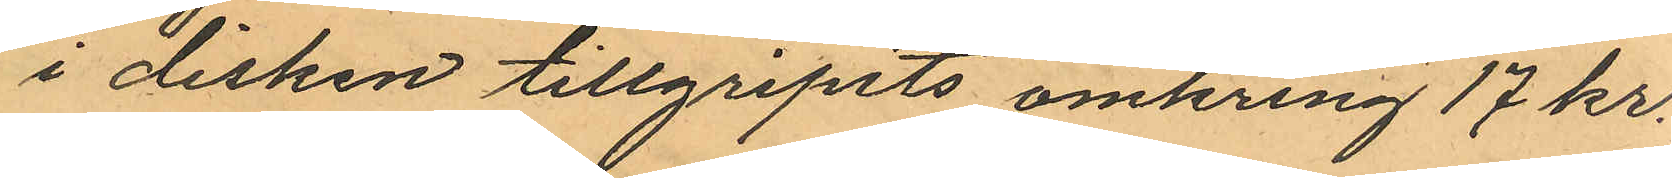i disken tillgripits omkring 17 kr.
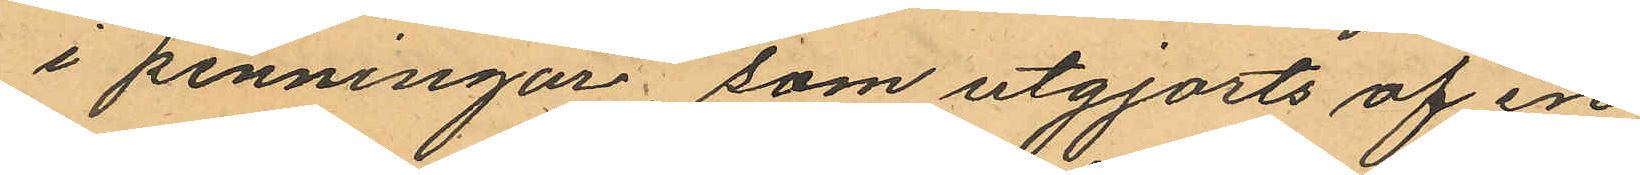i penningar, som utgjorts af en
